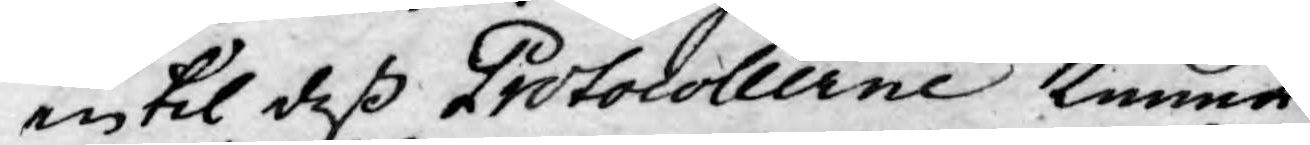intil deß Protocollerne kunna
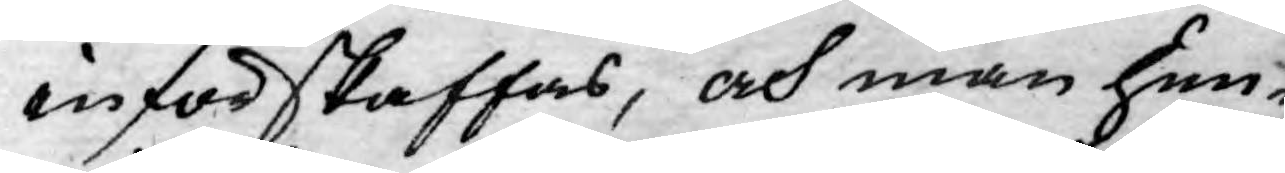införskaffas, och man hun-
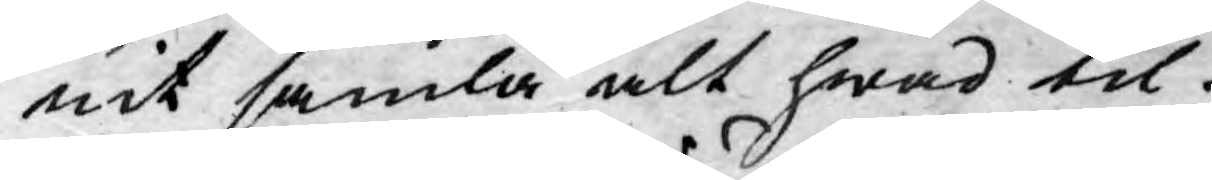nit samla alt hwad til
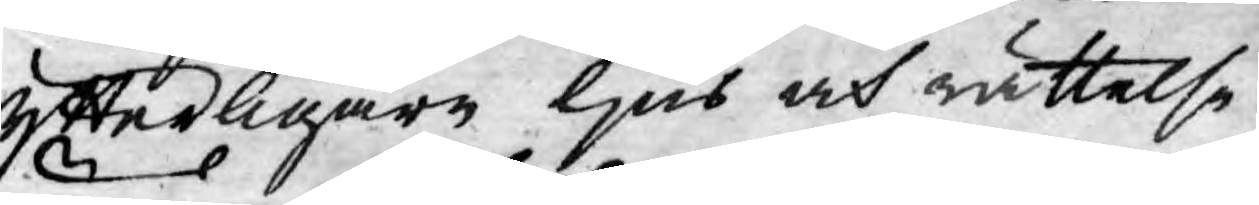ytterligare ljus och rättelse
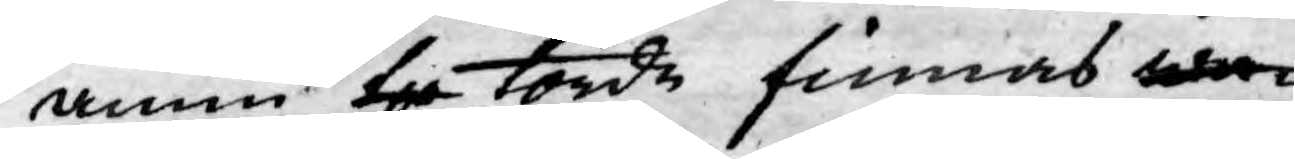ännu ty torde finnas wa¬
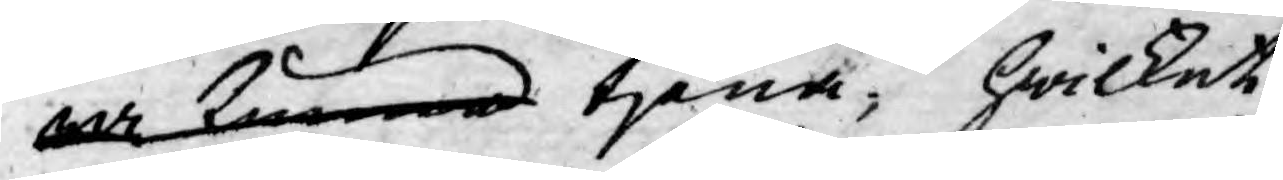ra kunna tjena; hwilket
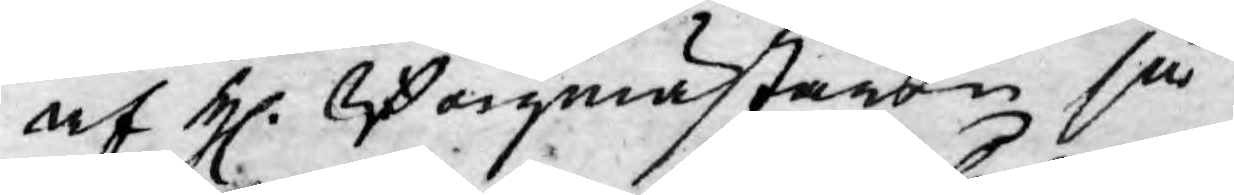af H. Borgmästaren så¬
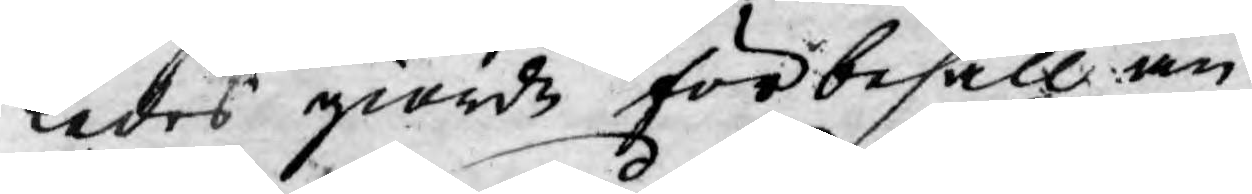ledes giorde förbehåll an¬
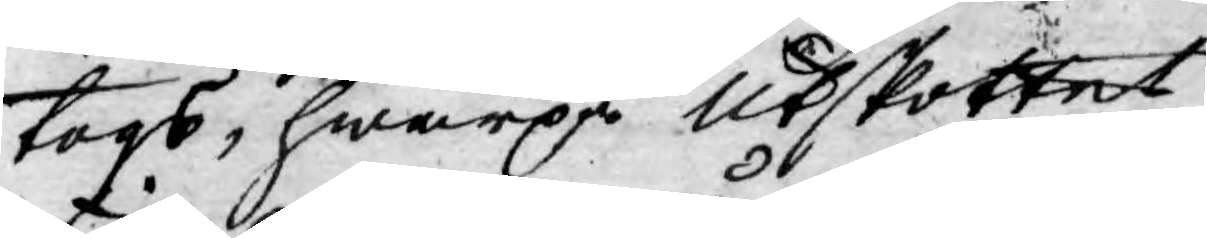togs, hwarpå Utskottet
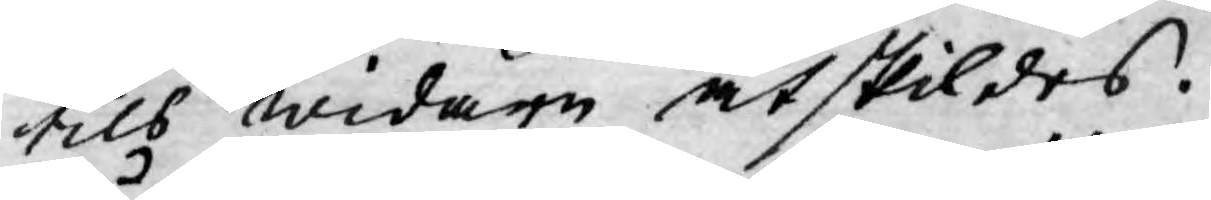tils widare åtskildes.
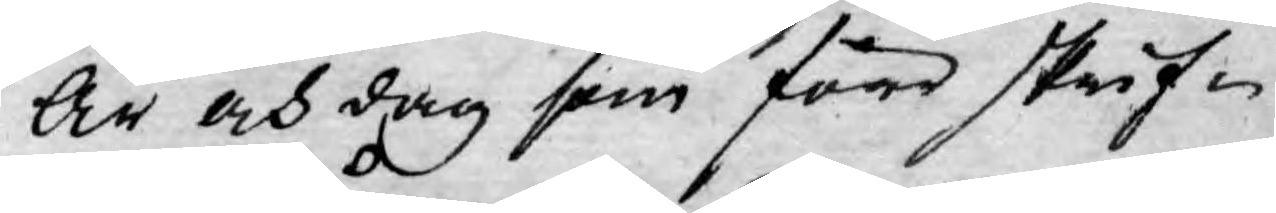År och dag som före skrif¬
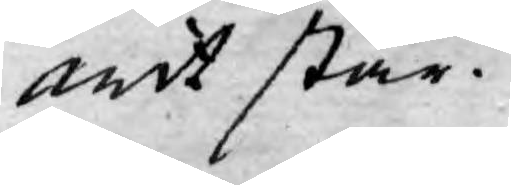wit står.
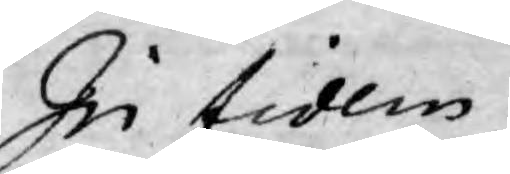In fidem
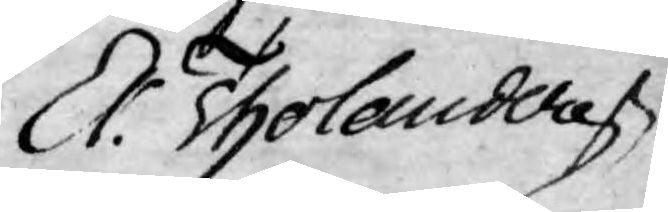Er. Tholander
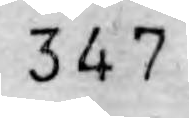347
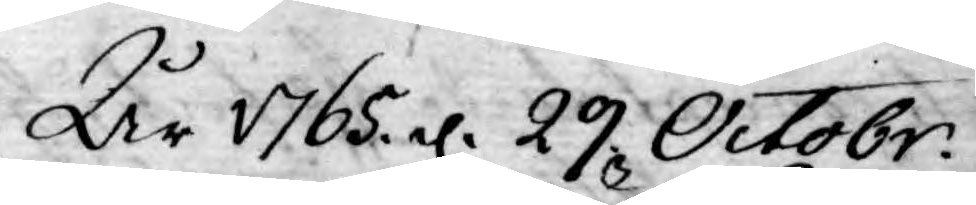År 1765 d. 29 Octobr.
